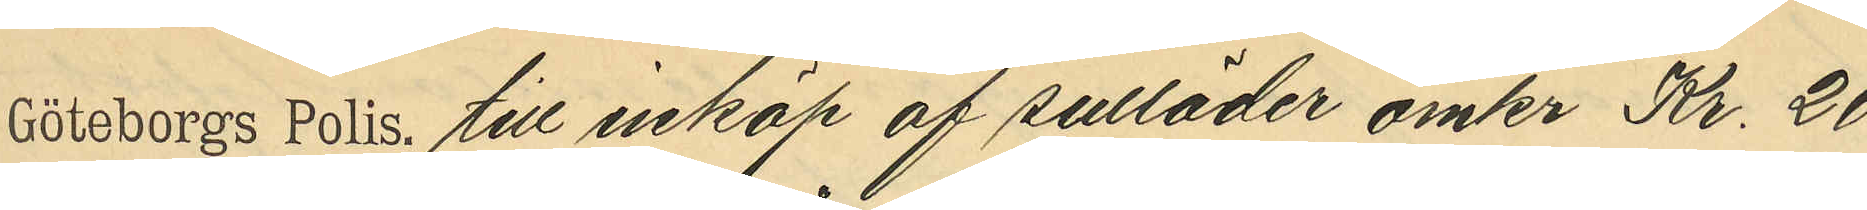till inköp av sulläder omkr Kr. 20
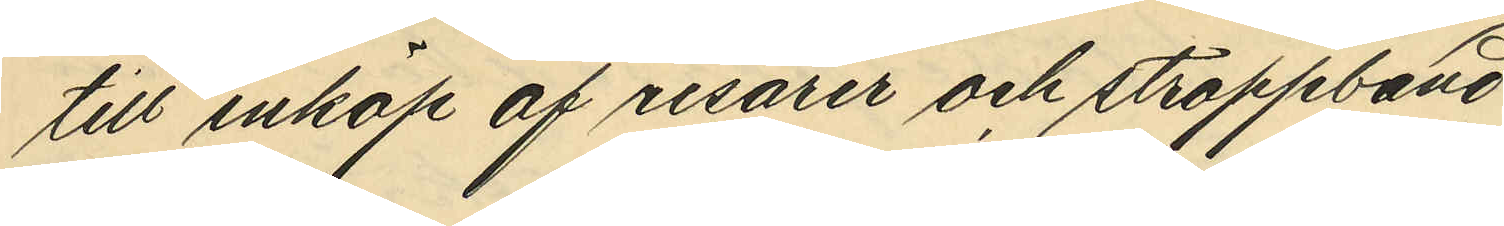tillköp af resårer och stroppband
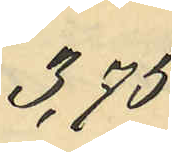3,75
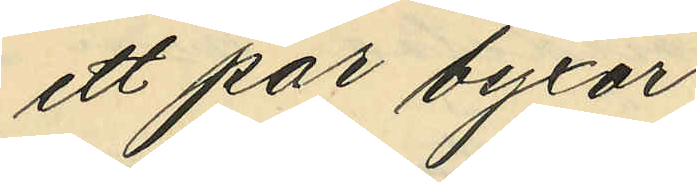ett par byxor
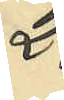2.
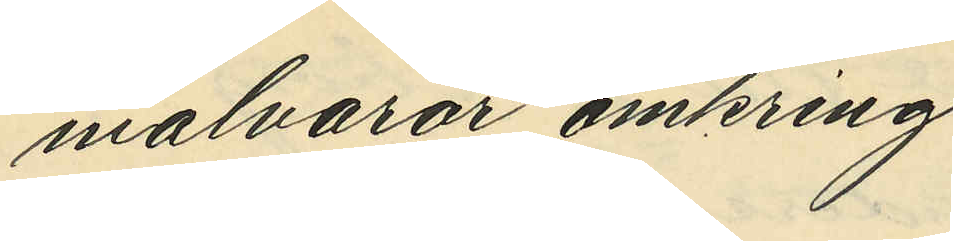malvaror omkring
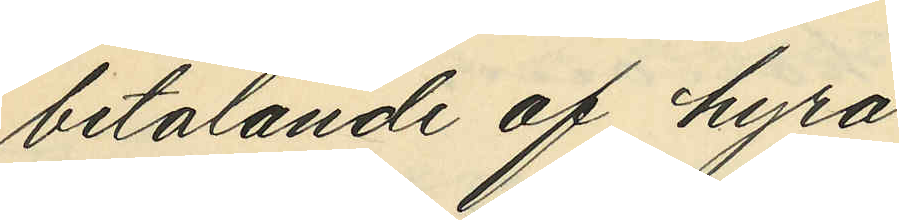betalande av hyra
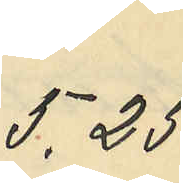5,25
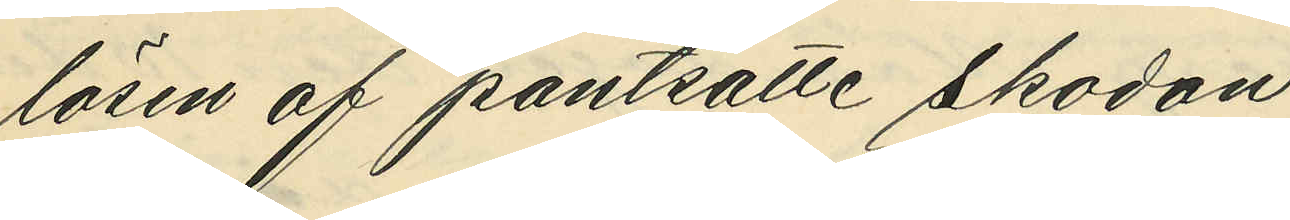lösen af pantsatte skodon
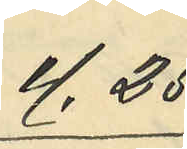4,25
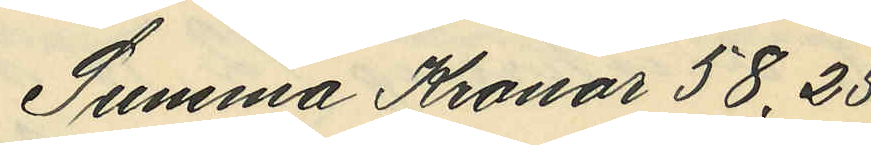Summa Kronor 58,25.
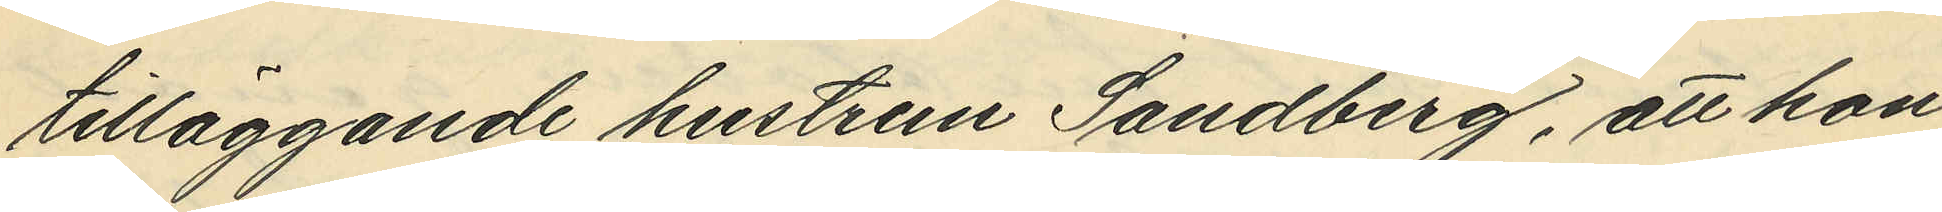tilläggande hustrun Sandberg, att hon,
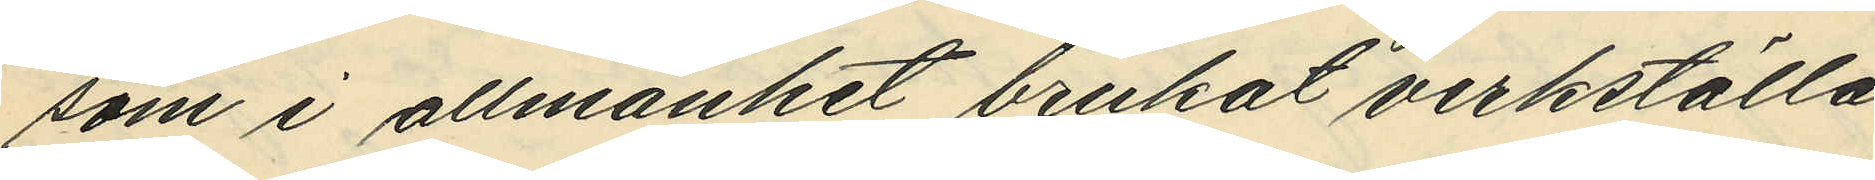som i allmänhet brukat verkställa
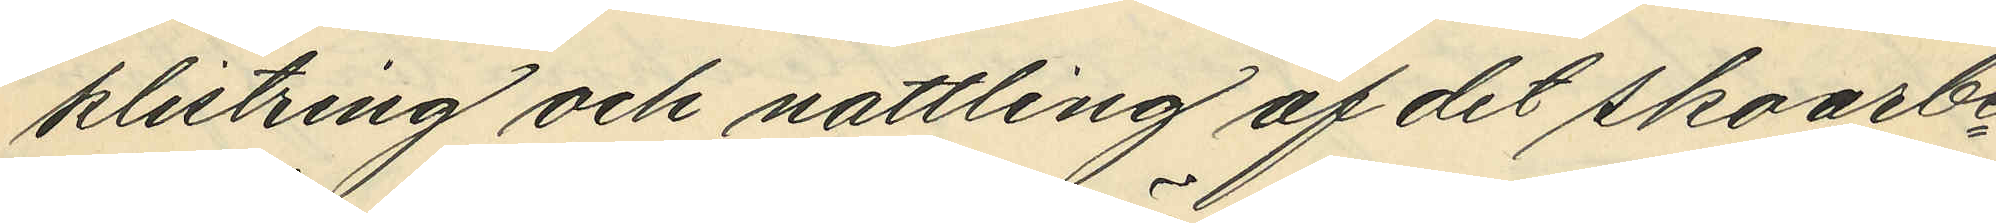klistring och nattling af de skoarbe¬
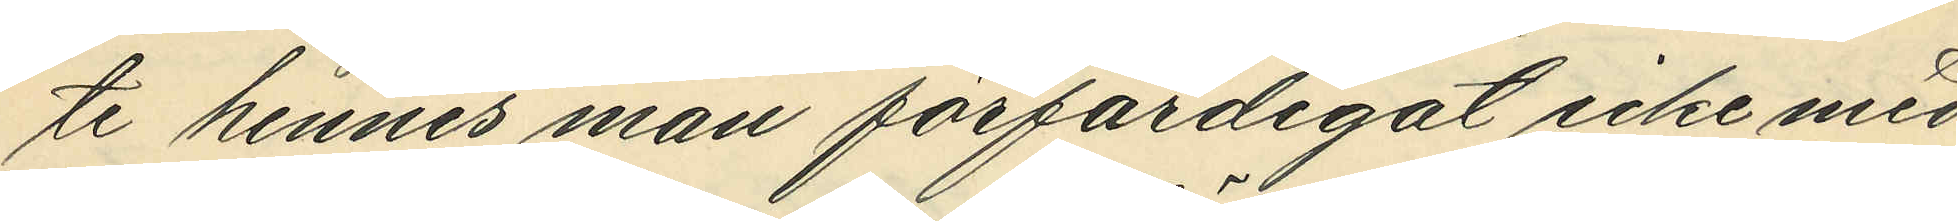te hennes man förfärdigat icke med
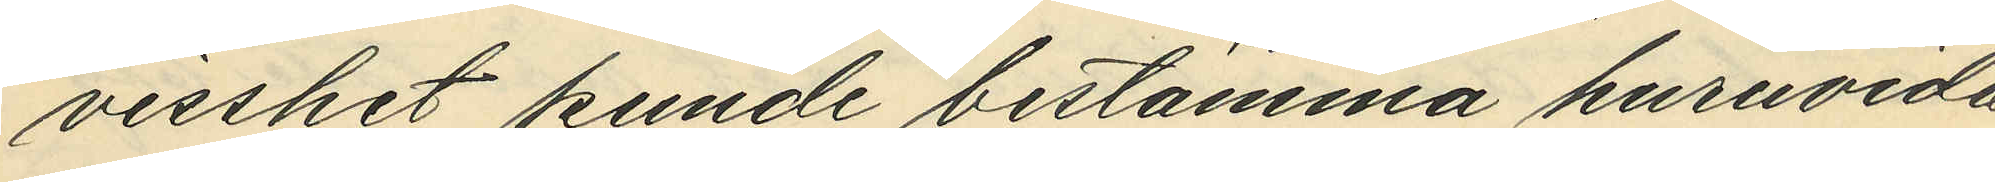visshet kunde bestämma huruvida
